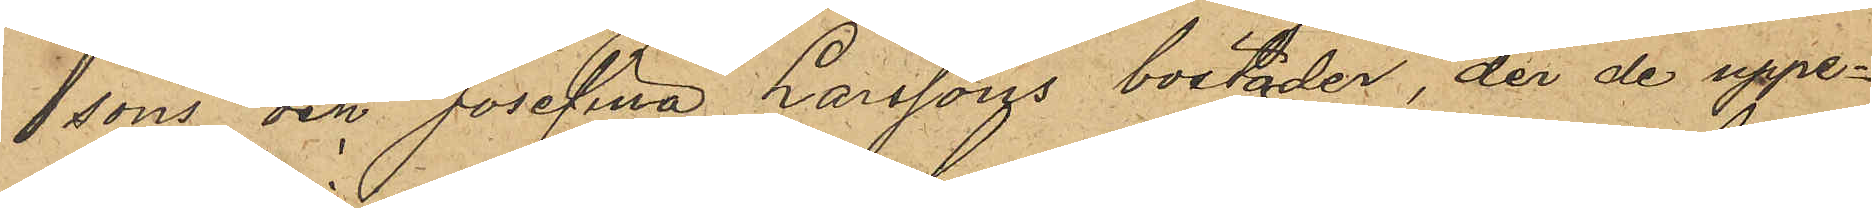sons och Josefina Larssons bostäder, der de uppe¬
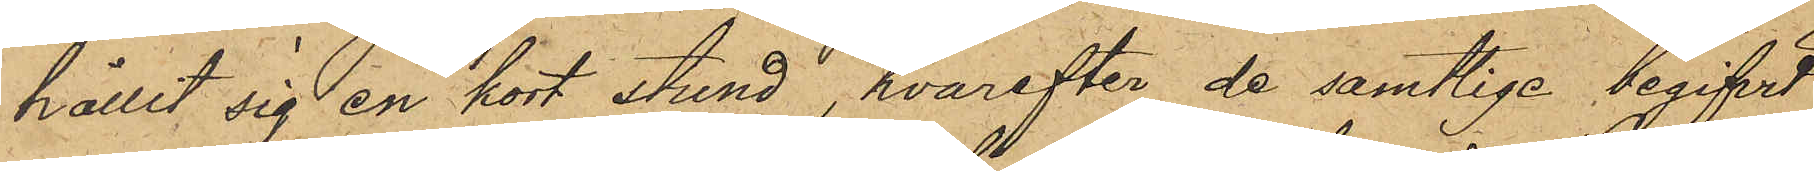hållit sig en kort stund, hvarefter de samtlige begifvit
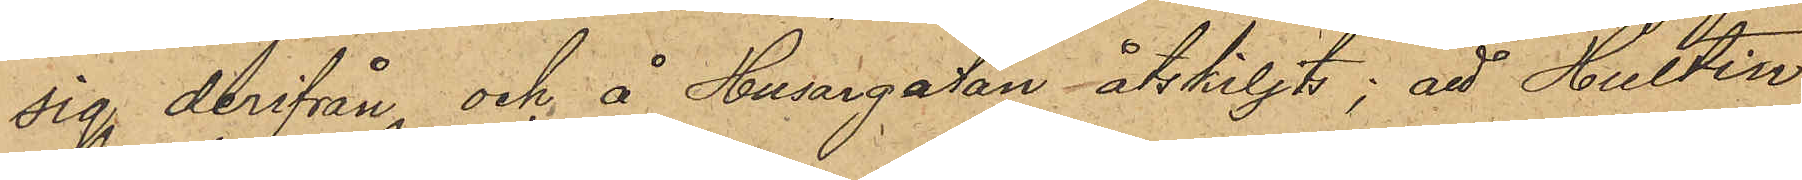sig derifrån och å Husargatan åtskiljts; att Hultin
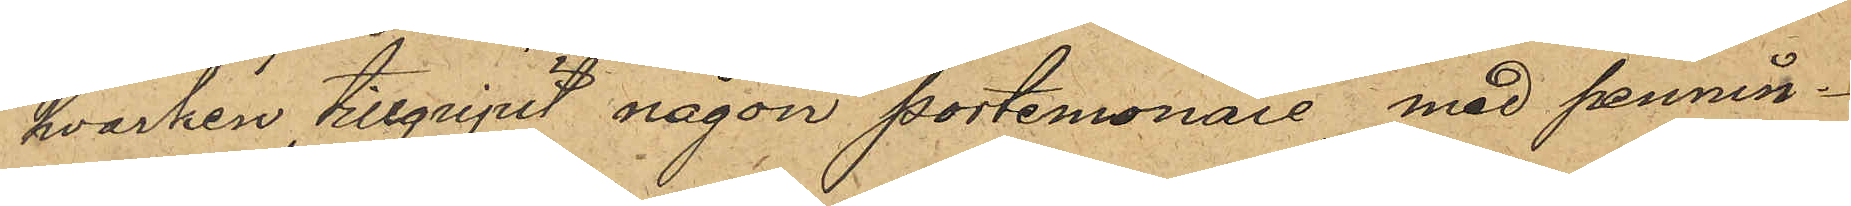hvarken tillgripit någon portemonaie med pennin¬
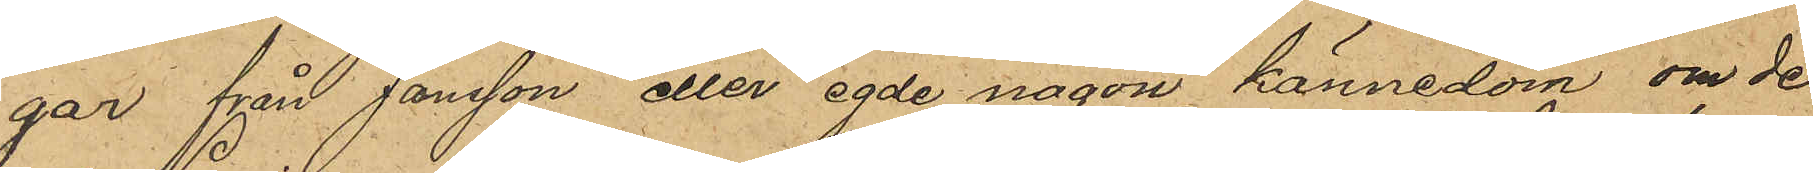gar från Jonsson eller egde någon kännedom om de
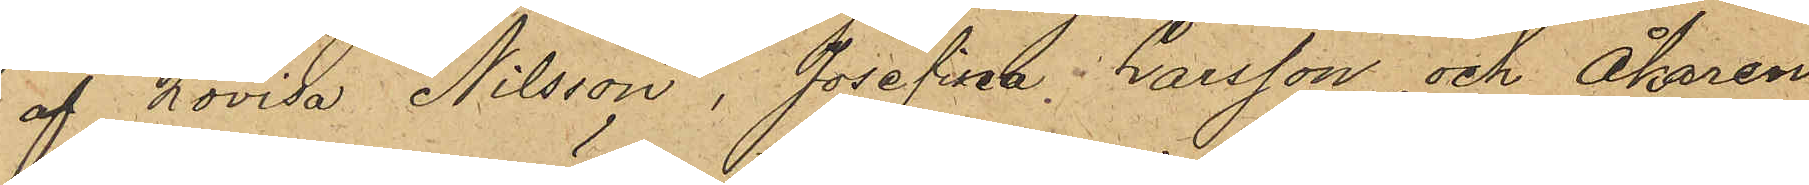af Lovisa Nilsson, Josefina Larsson och Åkaren
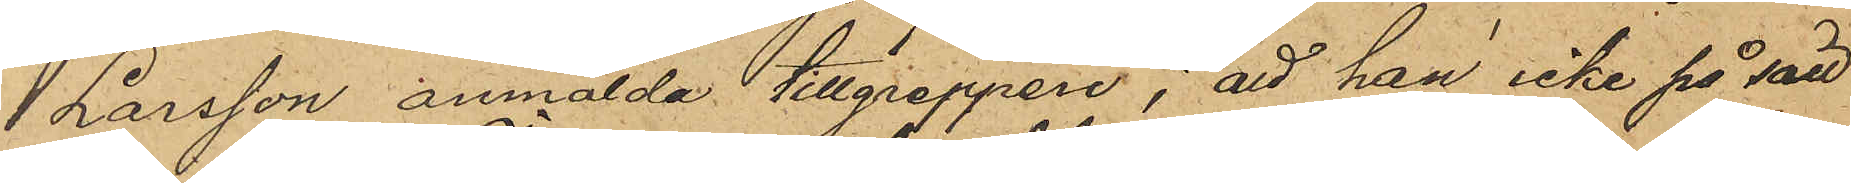Larsson anmälda tillgreppen; att han icke på sätt
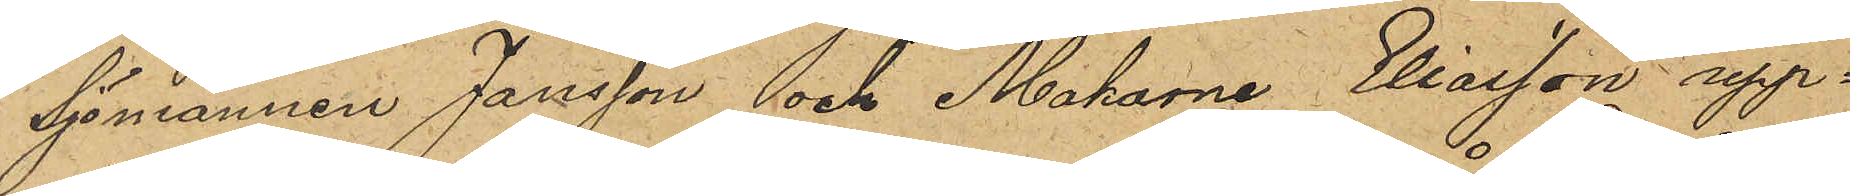Sjömannen Jansson och Makarna Eliasson upp¬
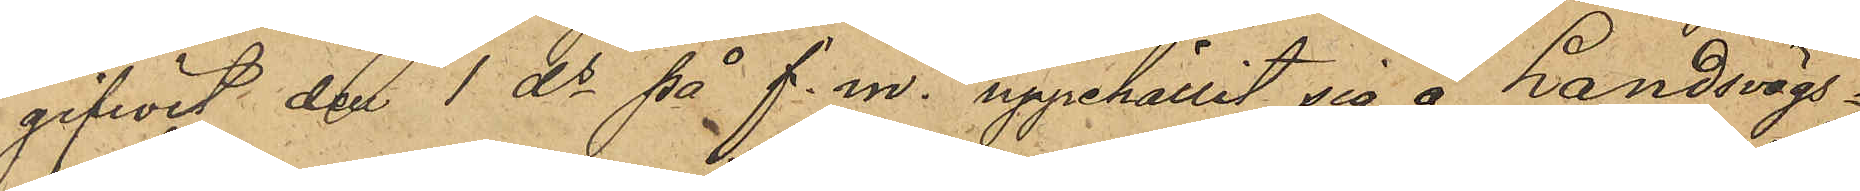gifwit den 1 ds på f. m. uppehållit sig å Landsvägs¬
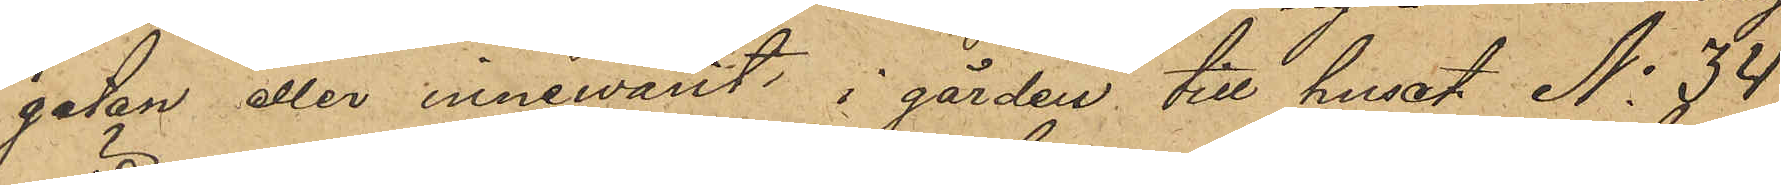gatan eller innewarit i gården till huset No 34
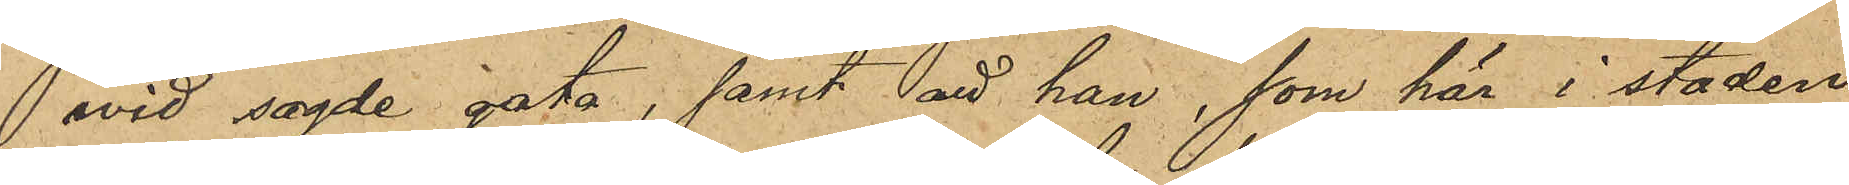 wid sagde gata, samt att han, som här i staden
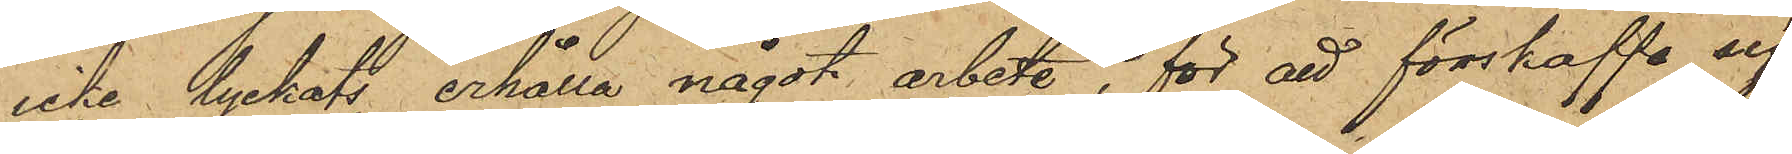icke lyckats erhålla något arbete för att förskaffa sig
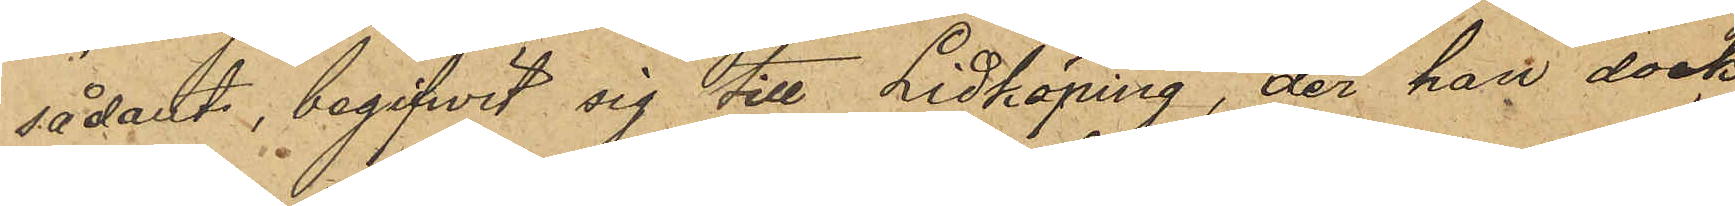sådant, begifwit sig till Lidköping, der han dock
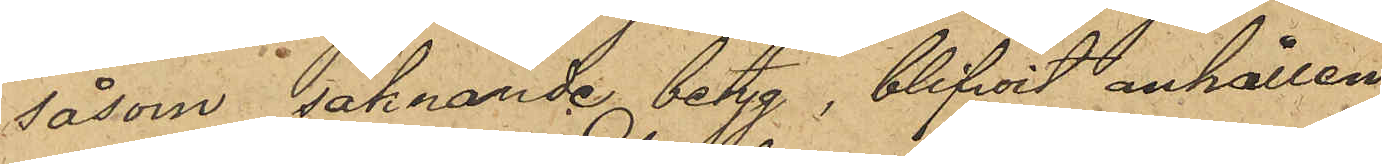såsom saknande betyg, blifwit anhållen.
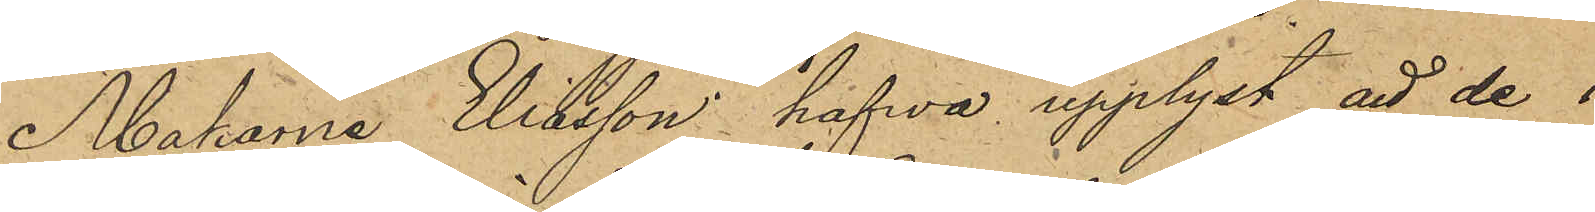Makarna Eilsson hafwa upplyst att de i
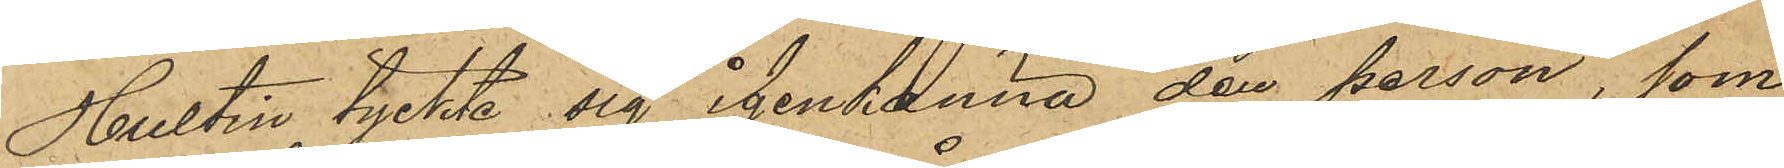Hultin tyckte sig igenkänna den person, som
